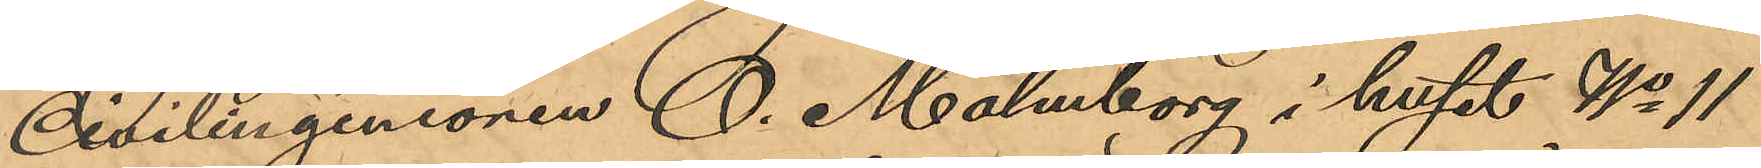Civilingeniören O. Malmborg i huset No 11
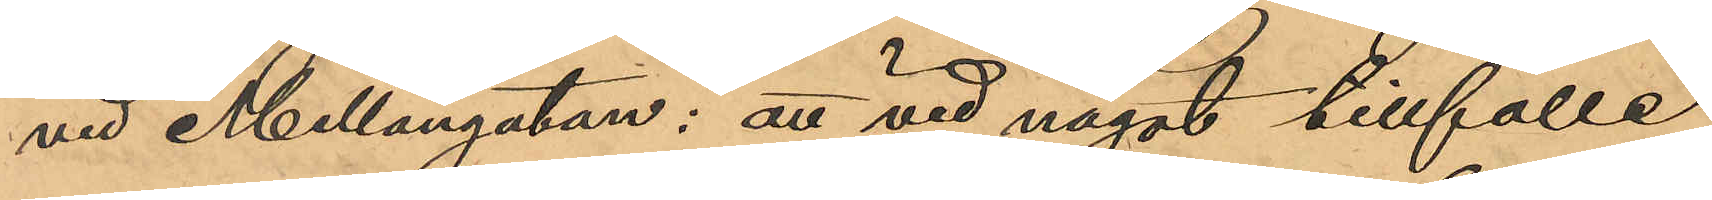vid Mellangatan: att vid något tillfälle
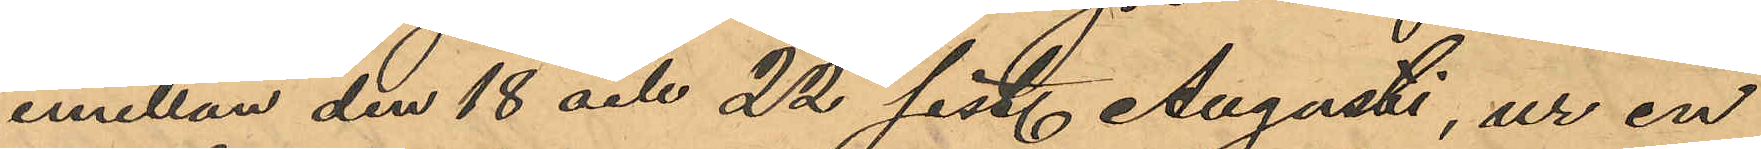emellan den 18 och 22 sist. Augusti, ur en
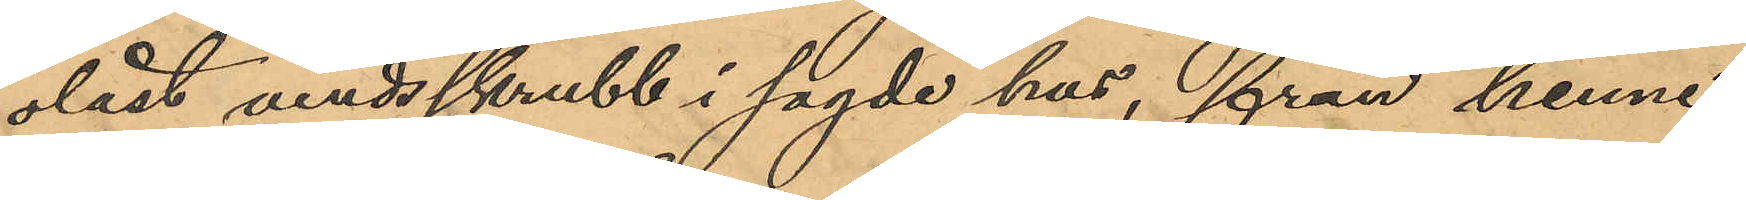olåst vindsskrubb i sagde hus, från henne
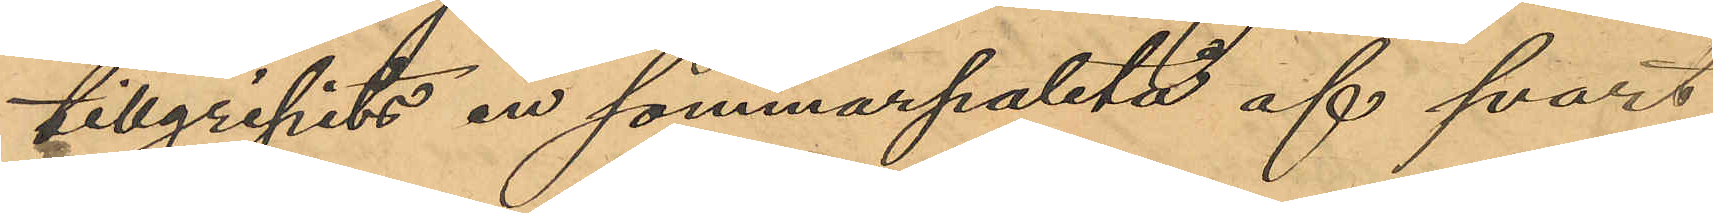tillgripits en sommarpaletå af svart
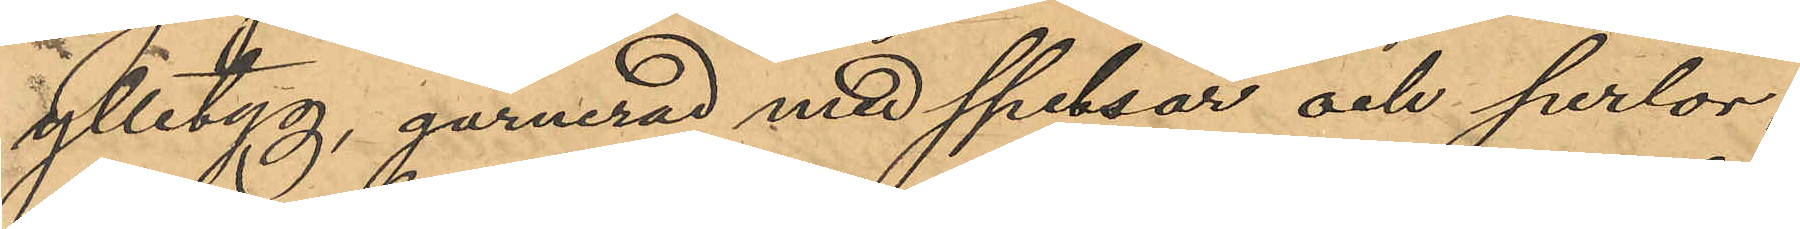ylletyg, garnerad med spetsar och perlor,
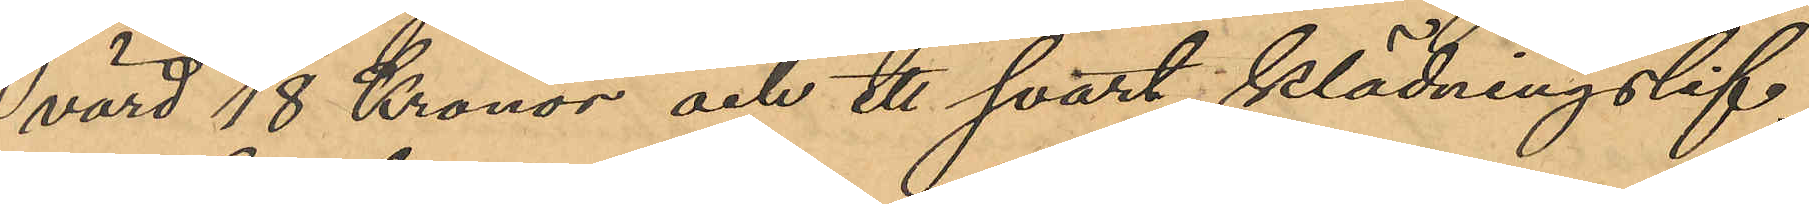värd 18 Kronor och ett svart klädningslif,
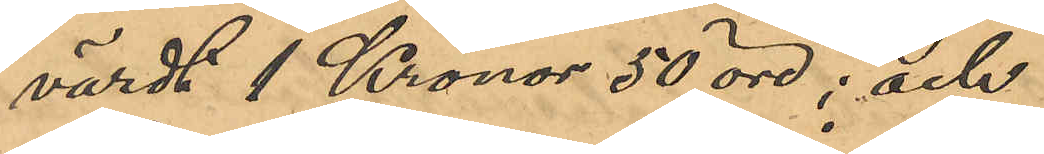värdt 1 Kronor 50 öre; och
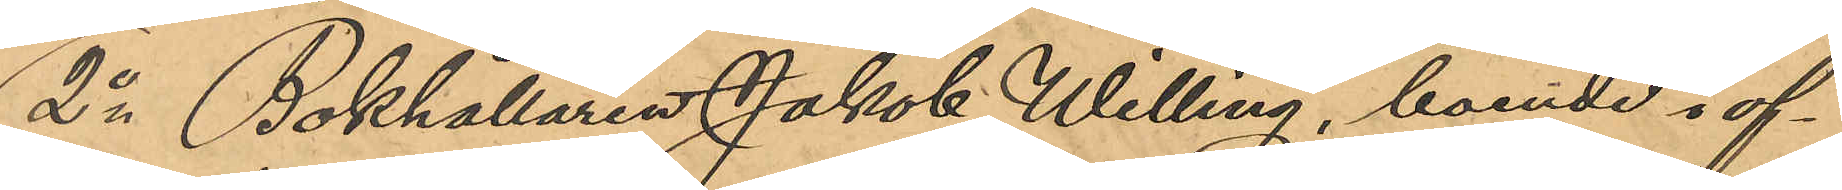2o Bokhållaren Jakob Willing, boende i of¬
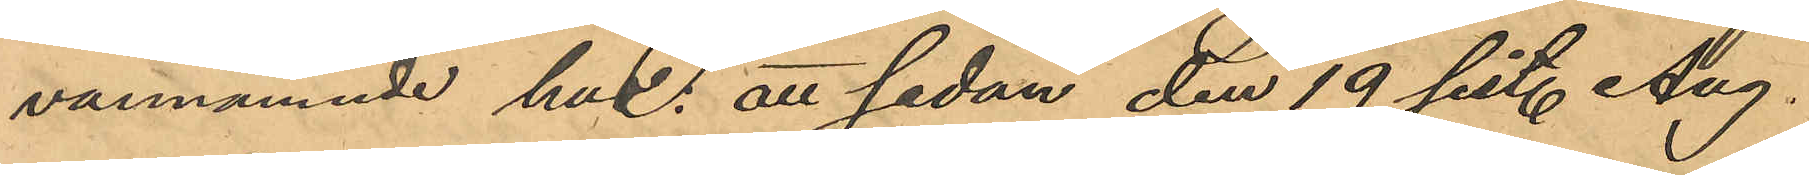vannämnde hus: att sedan den 19 sist. Aug.
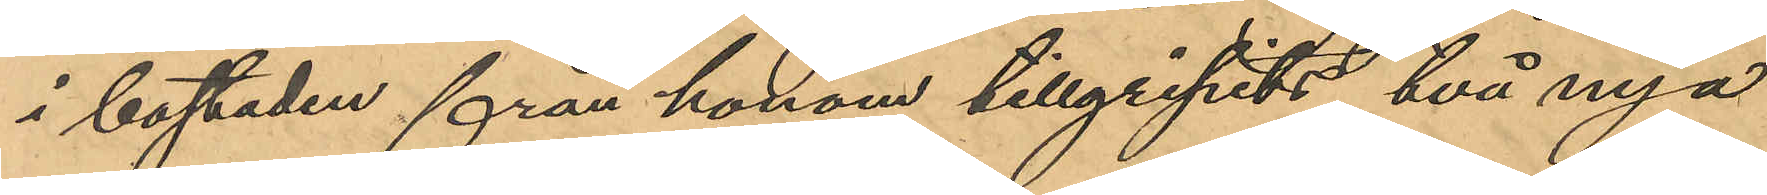i bostaden från honom tillgripits två nya
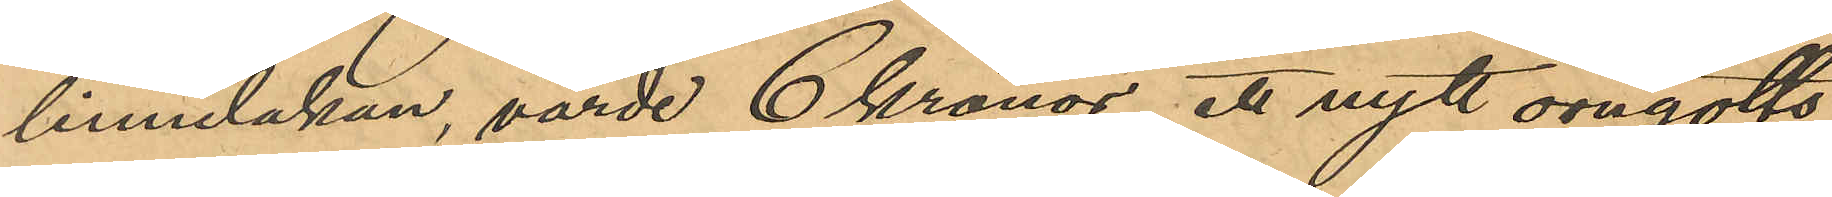linnelakan, värde 6 kronor, ett nytt örngotts¬
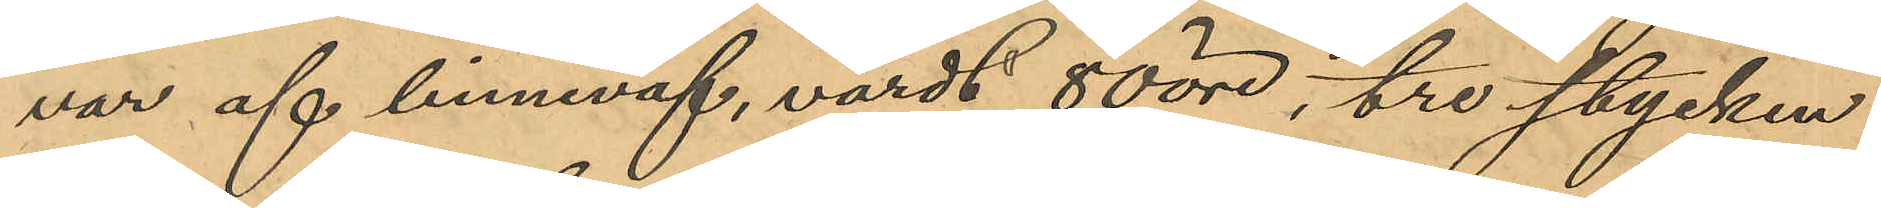var af linneväf, värdt 80 öre, tre stycken
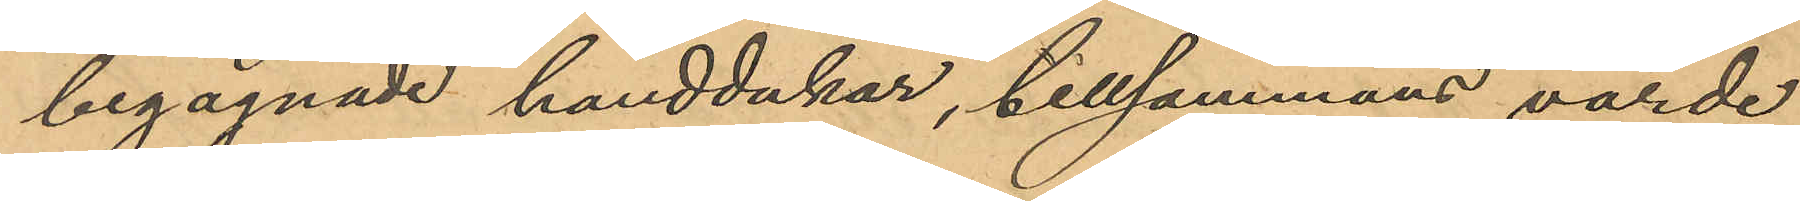begagnade handdukar, tillsammans värde
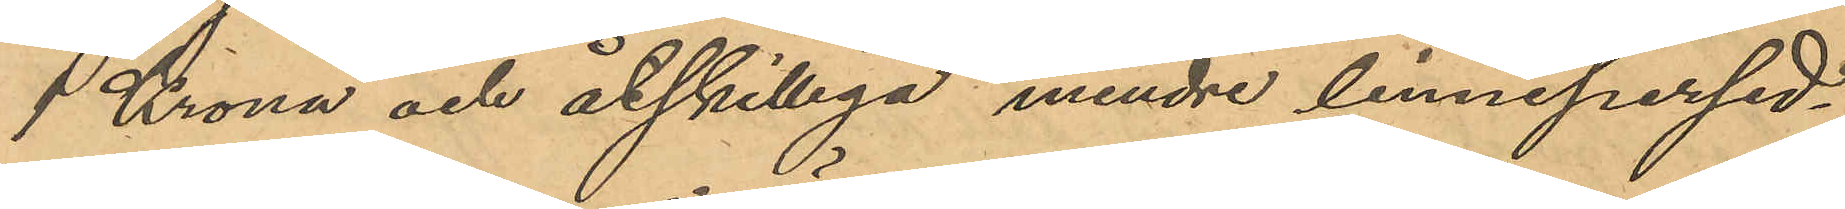1 Krona och åtskilliga mindre linnepersed¬
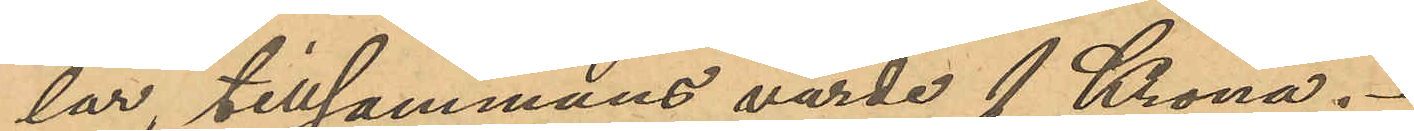lar, tillsammans värde 1 Krona.
